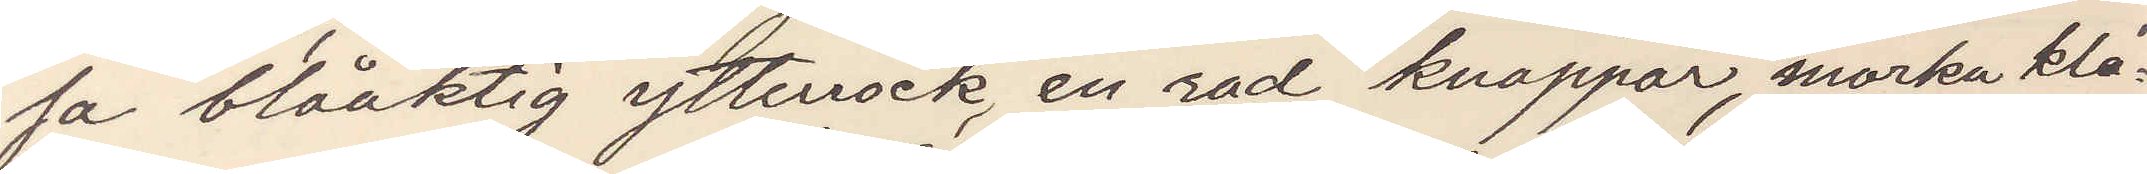sa blåaktig ytterrock, en rad knappar, mörka kla¬
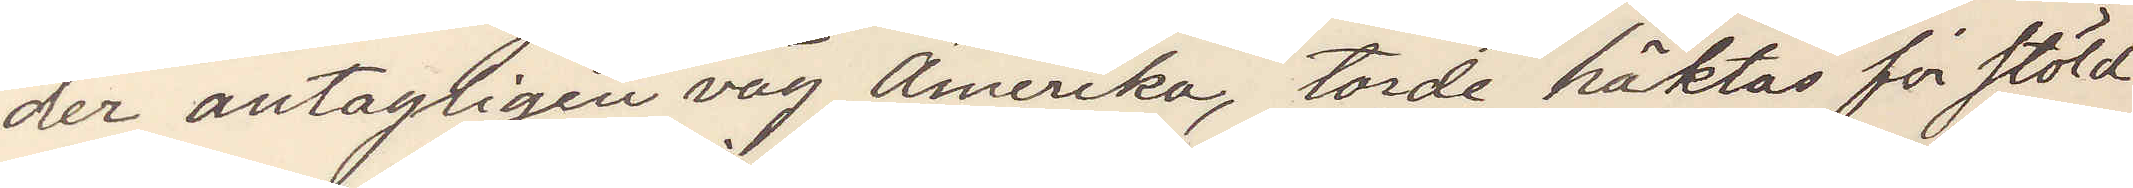der antagligen väg Amerika, torde häktas för stöld
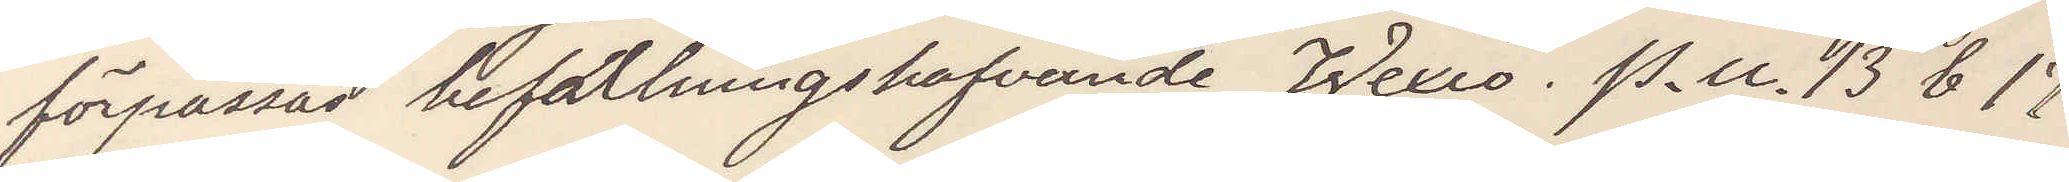förpassa befattningshafvande Wexiö. P. U. b17
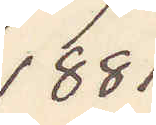1881
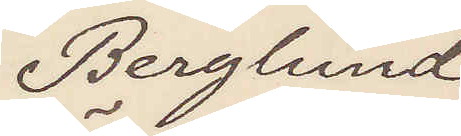Berglund
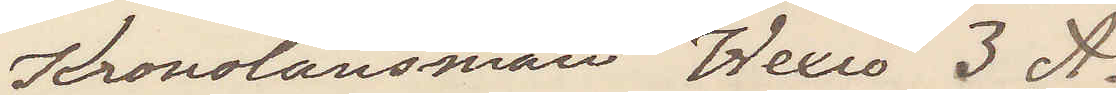Kronolänsman Wexiö 3 A.
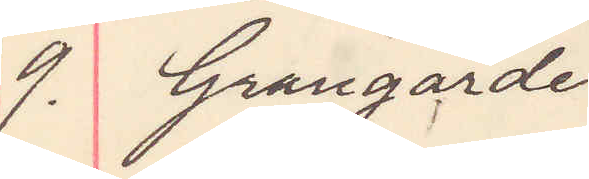9. Grangärde
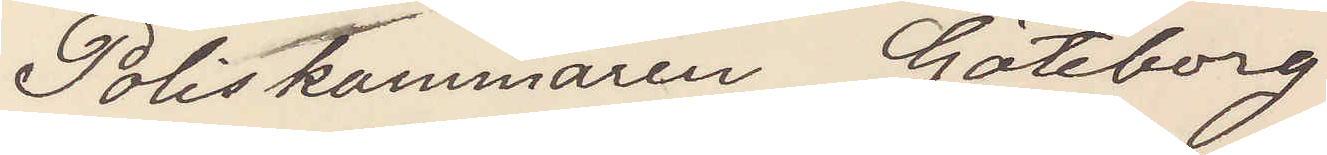Poliskammaren Göteborg
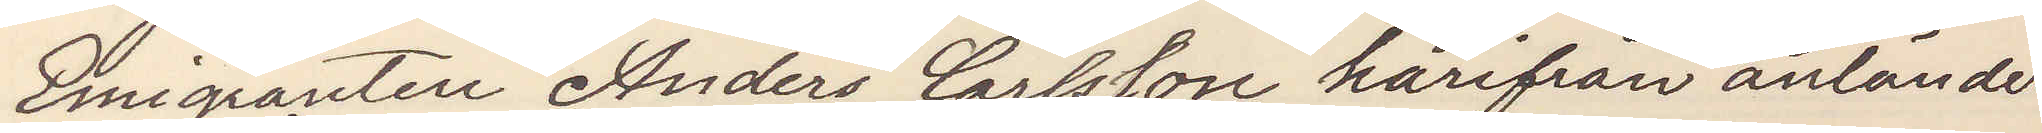Emigranten Anders Carlsson härifrån anländer
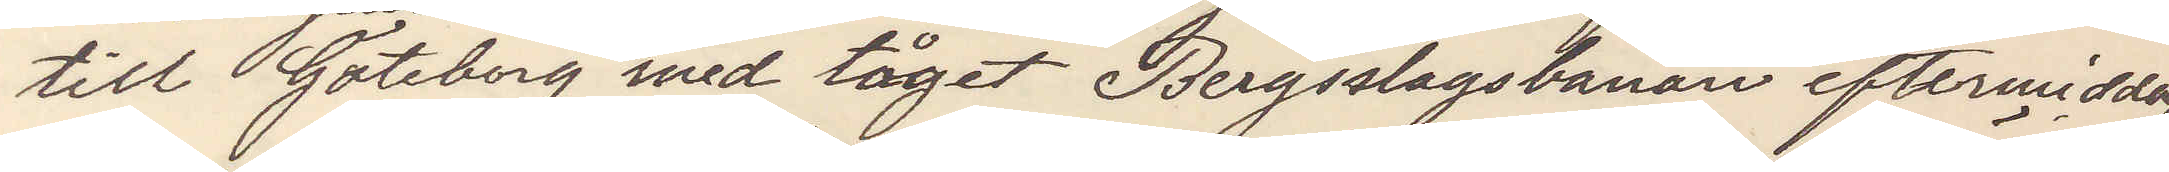till Göteborg med tåget Bergslagsbanan eftermiddag
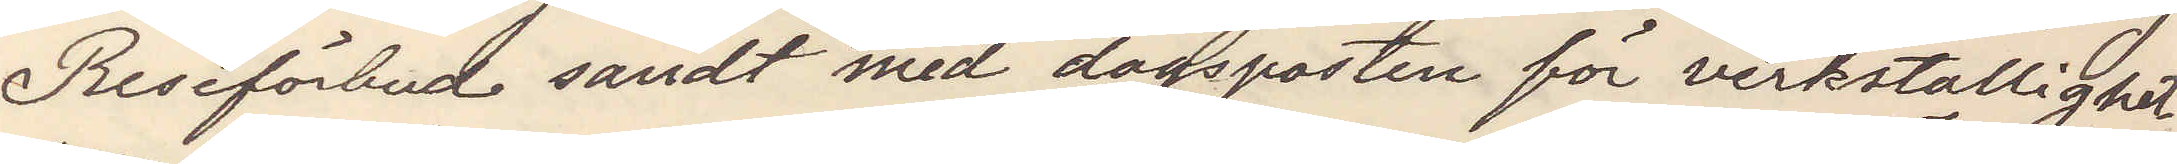Reseförbud sändt med dagsposten för verkställighet
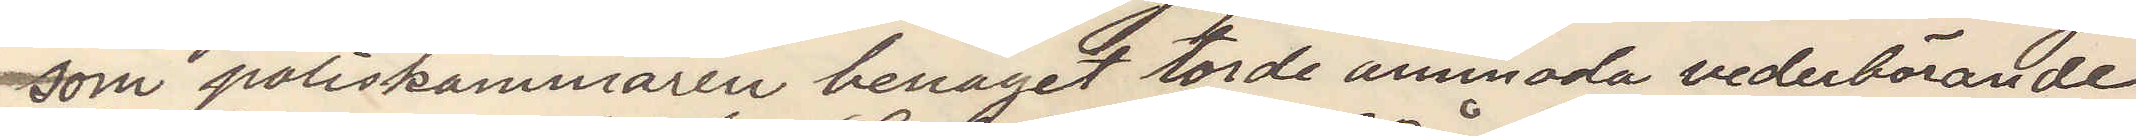som poliskammaren benäget torde anmoda vederbörande
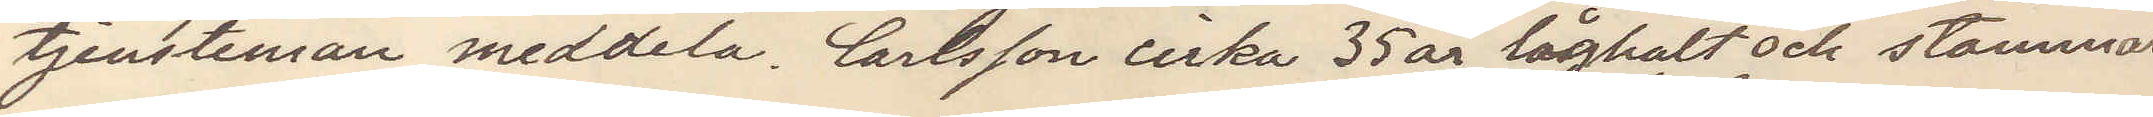tjensteman meddela. Carlsson cirka 35 år låghalt och stammar.
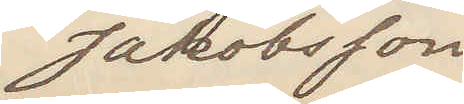Jakobsson.
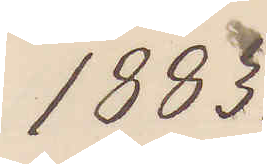1883
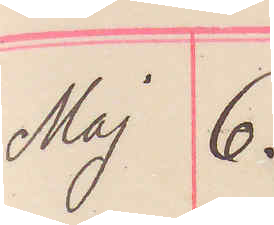Maj 6.
